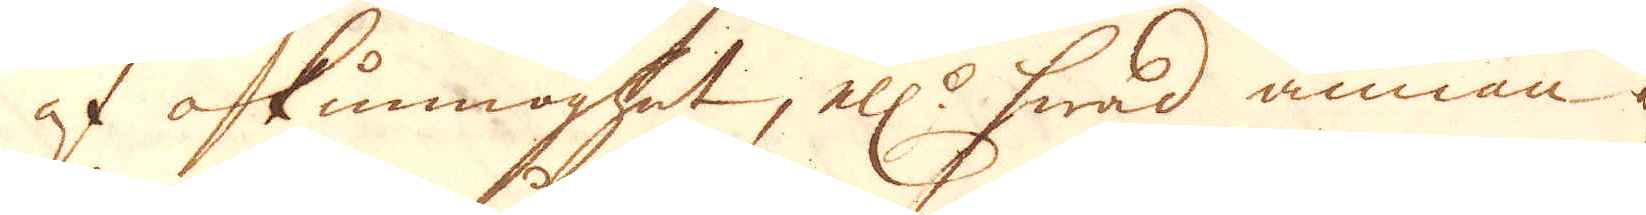af okunnoghet, ell:r hwad annan af-
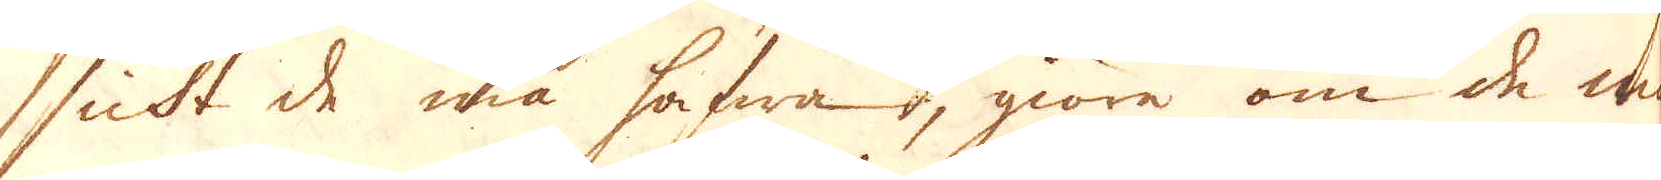sickt de må hafwa, giöre om de m
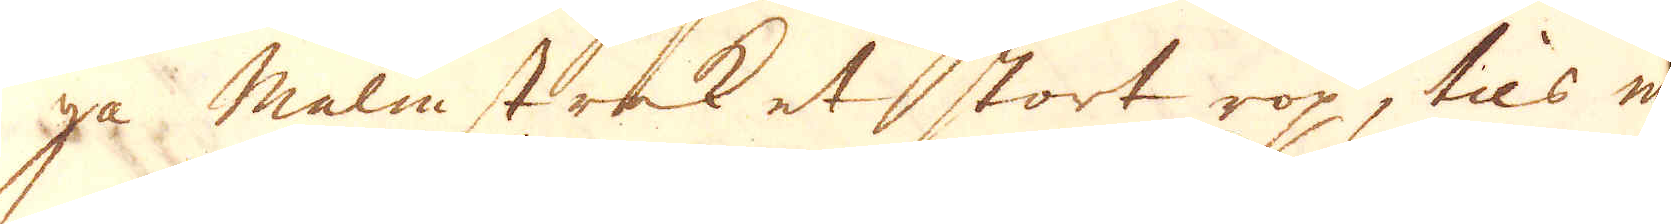ga malmstrek et stort rop, tils man
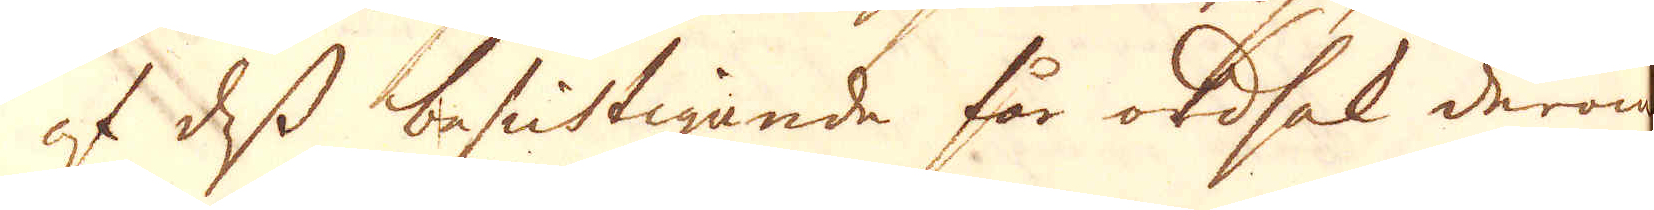af dess besichtigande får ordsak derom
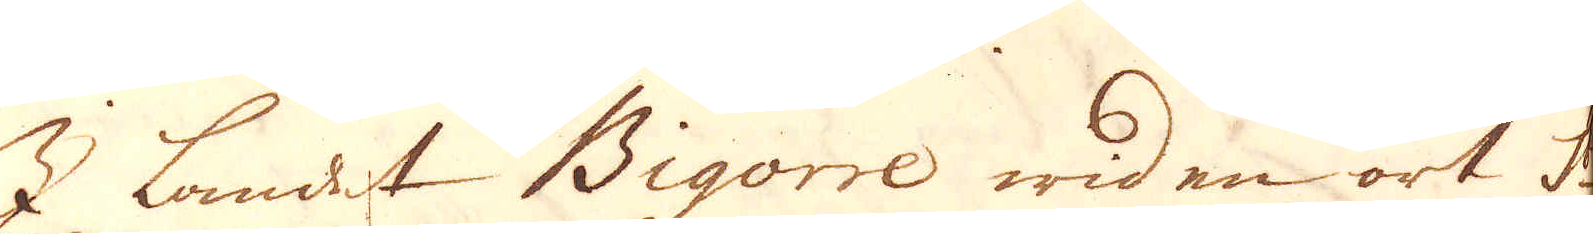I landet Bigorre wid en ort S:t
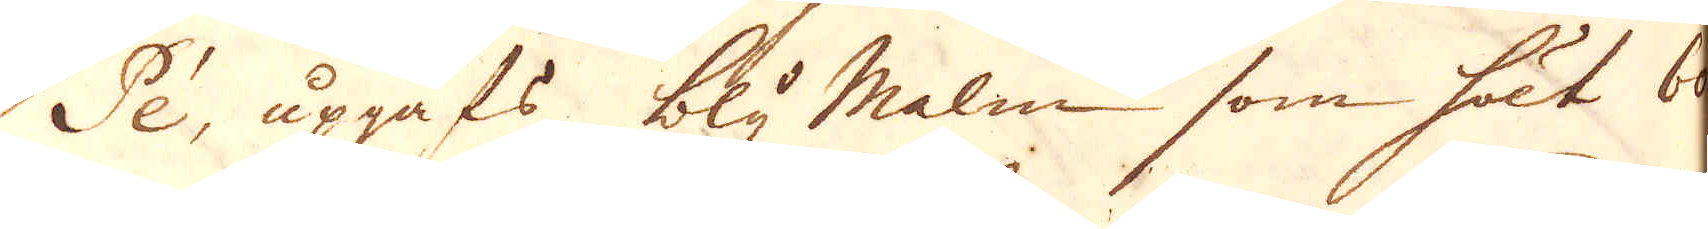Pée, upgafs bly malm som öllt60-
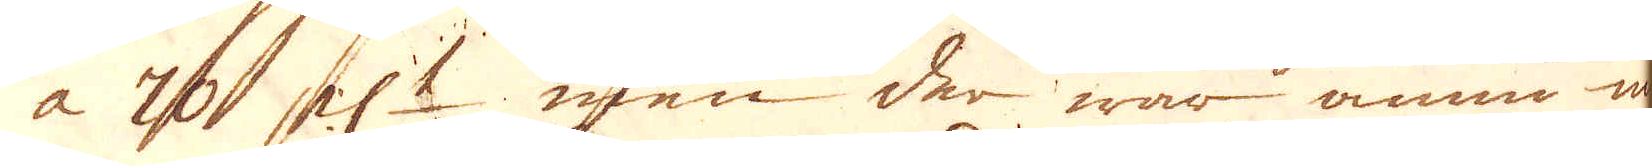a 70 pc:t men der war ännu in-
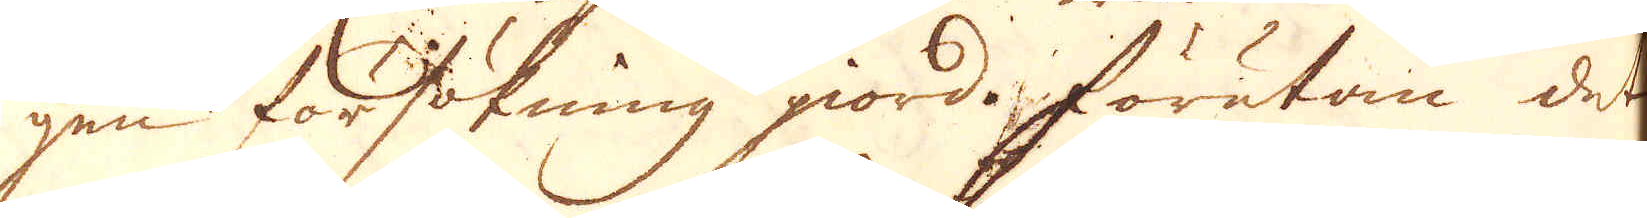gen försökning giord. Förutan det
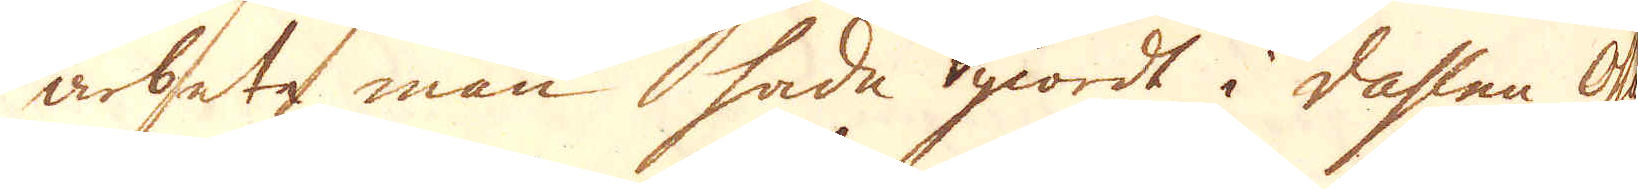arbete man hade giordt i dahlen Osse
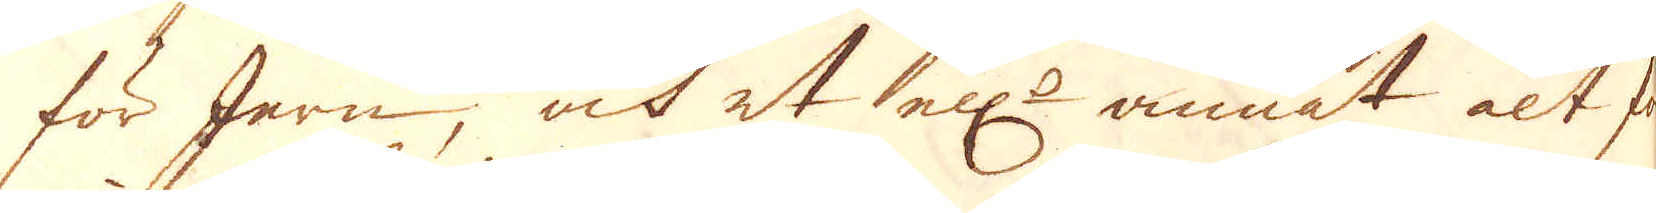för Jern, och et ell:r annat alt för
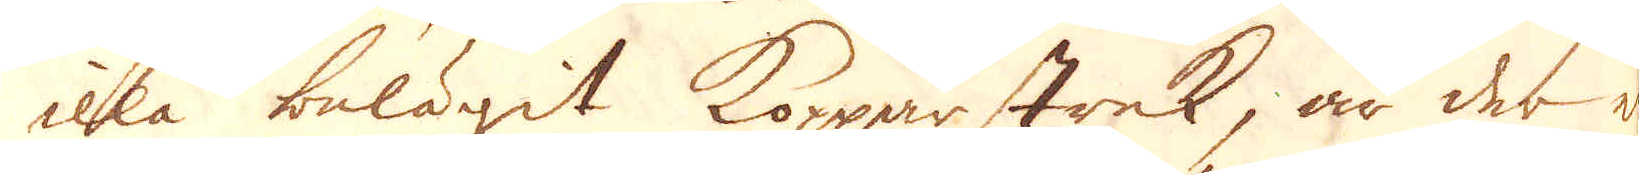illa belägit Kopparstrek, är der
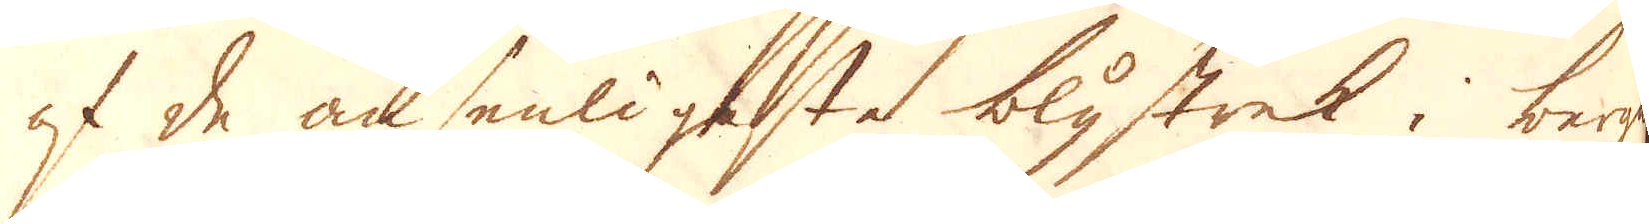af de ansenligaste blystrek i bergen
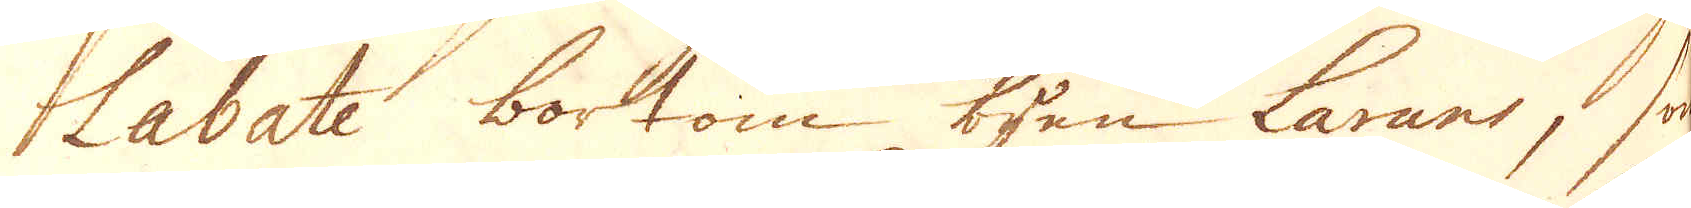Labate bortom byen Larans, som
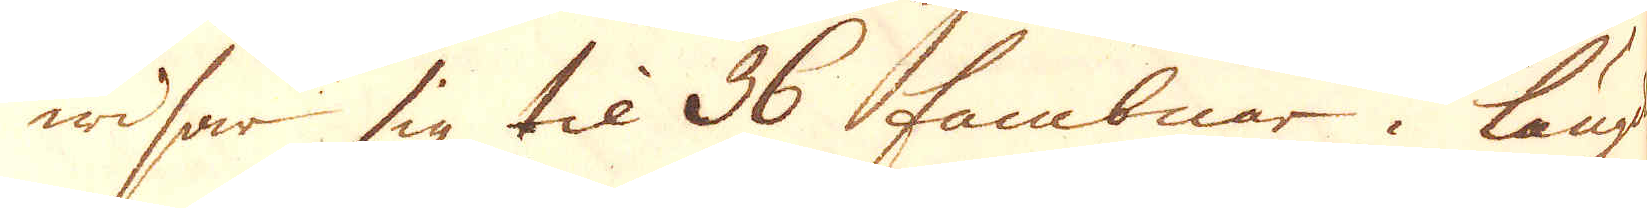widsar sig til 36 fambnar i längd
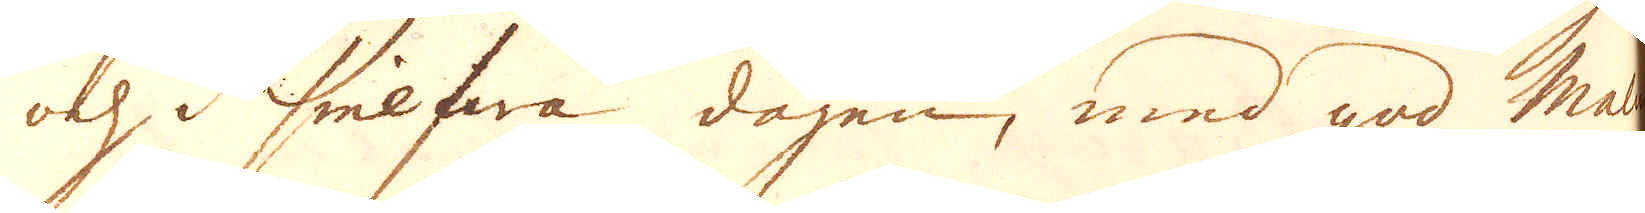och i sielfwa dagen, med god Malm
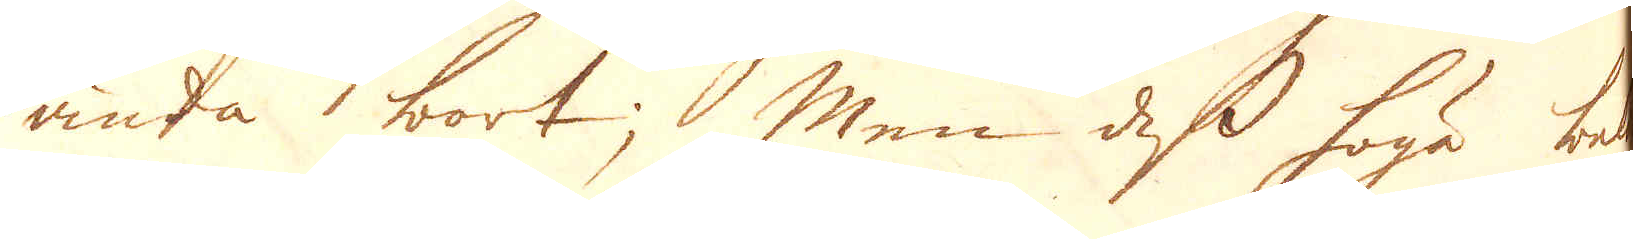ända bort; Men dess höga belä-
